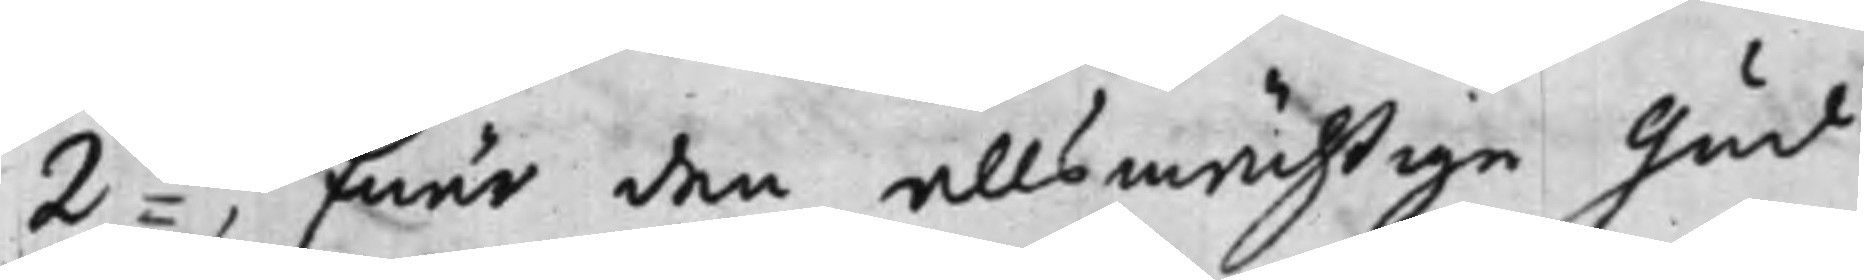2:do, Enär den allsmächtige Gud
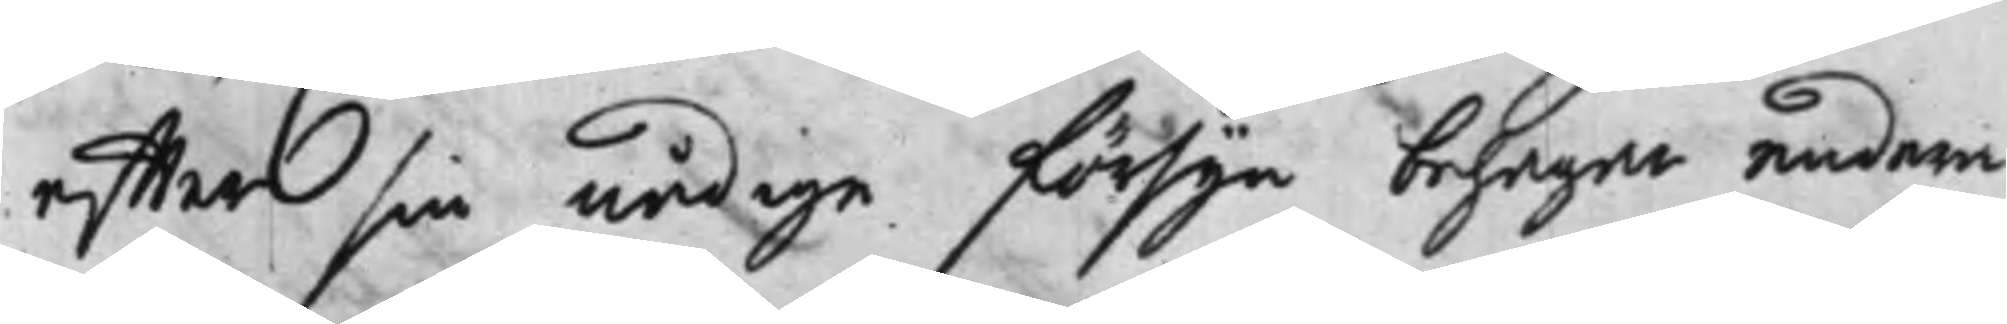effter sin nådige försyn behagar endera
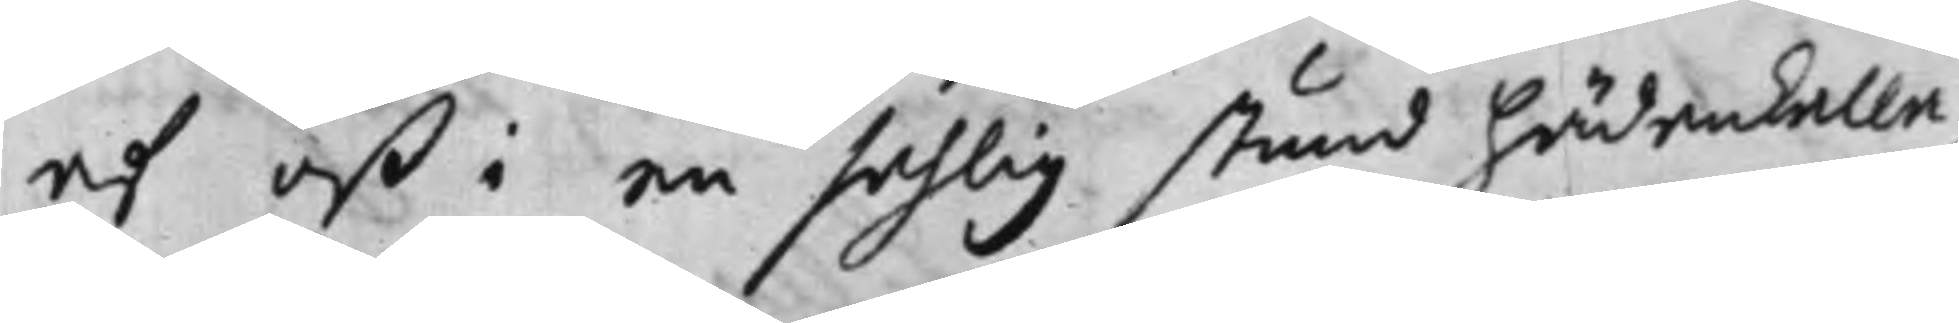af oß i en sahlig stund hädankalla,
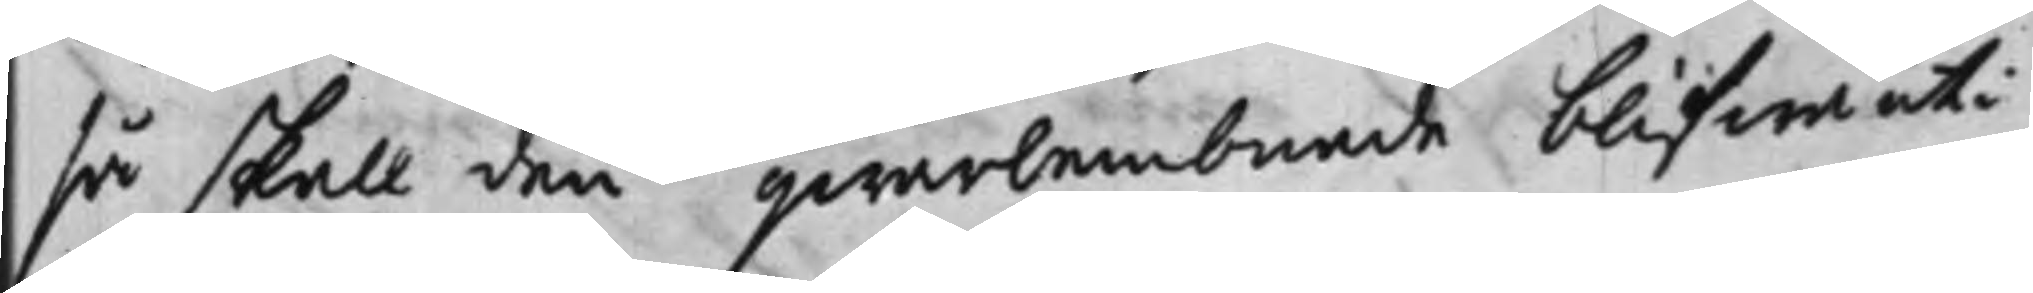så skall den qwarlembnade blifwa uti
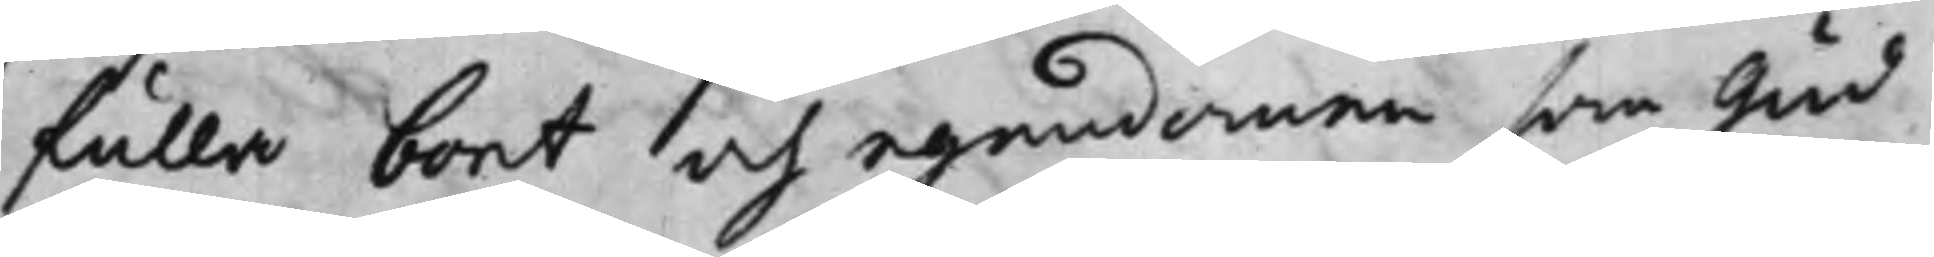fulla boet och egendomen som Gud
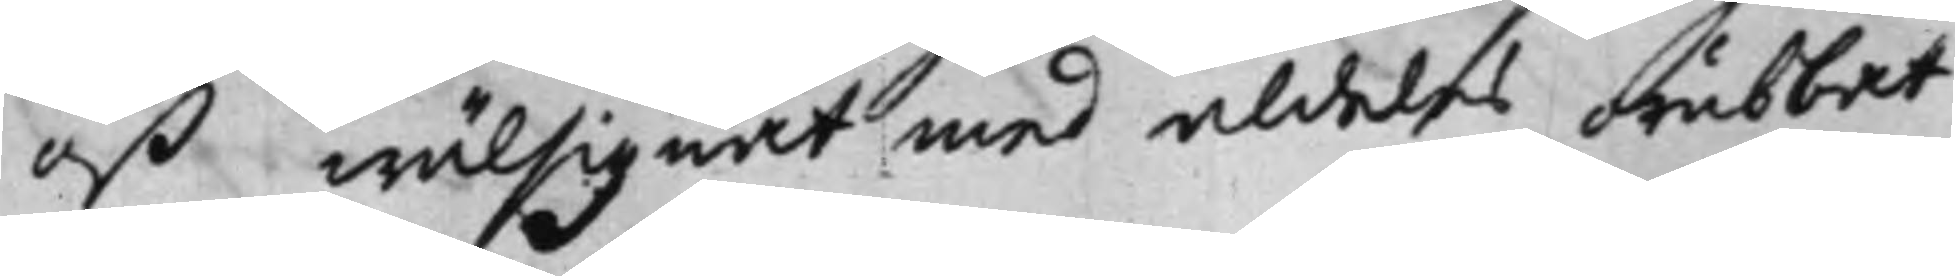oß wälsignat med aldeles orubbat
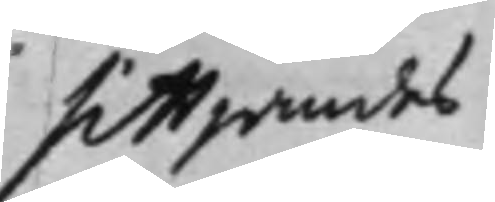sittjandes
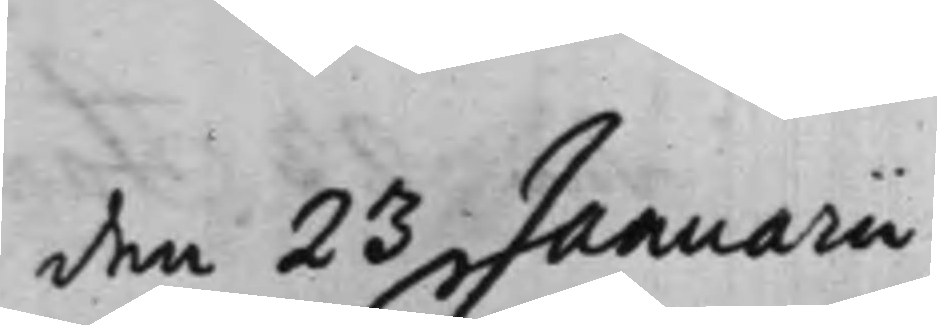den 23 Januarii
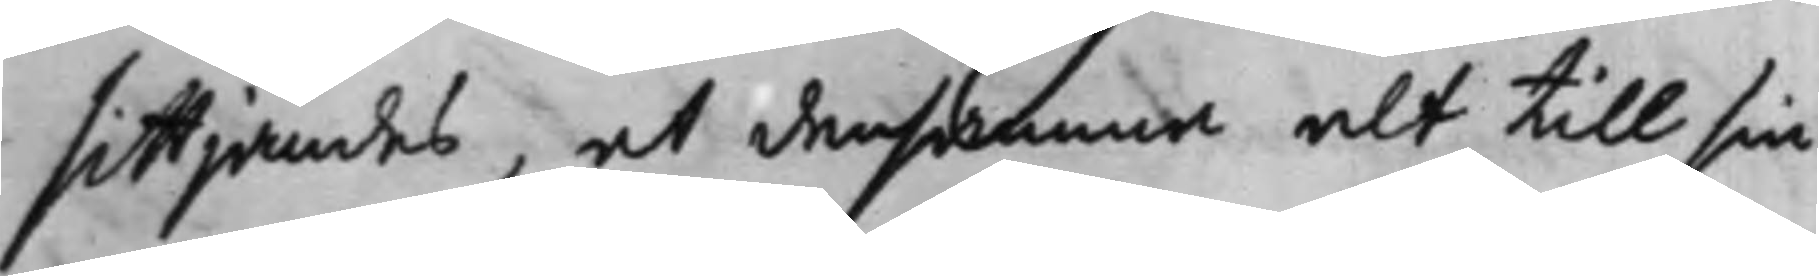sittjandes, at densamma alt till sin
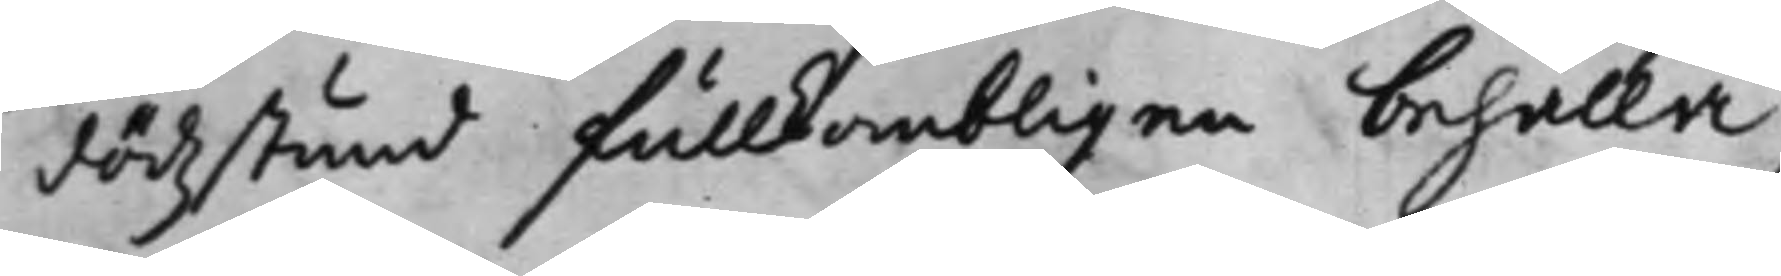dödzstund fullkombligen behålla,
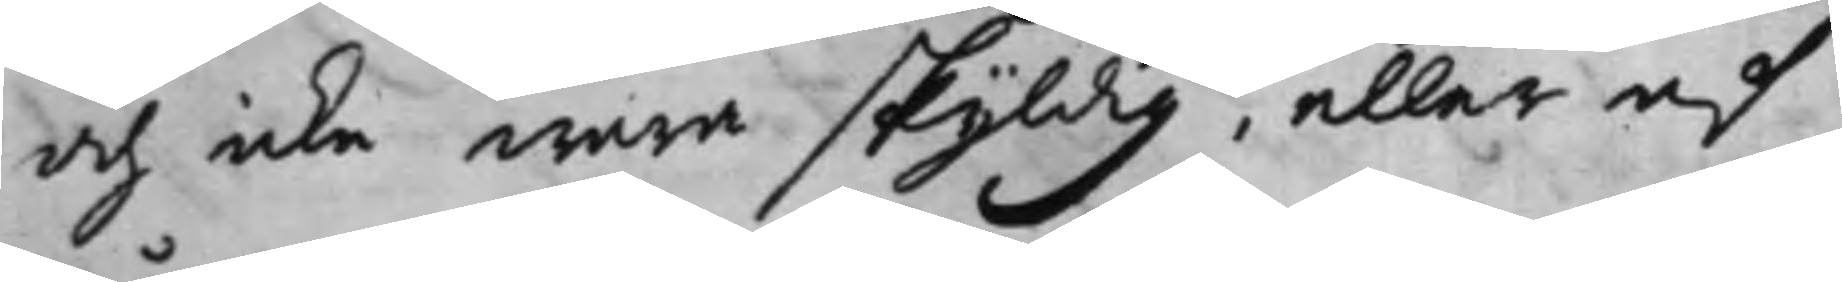och icke wara skyldig, eller af
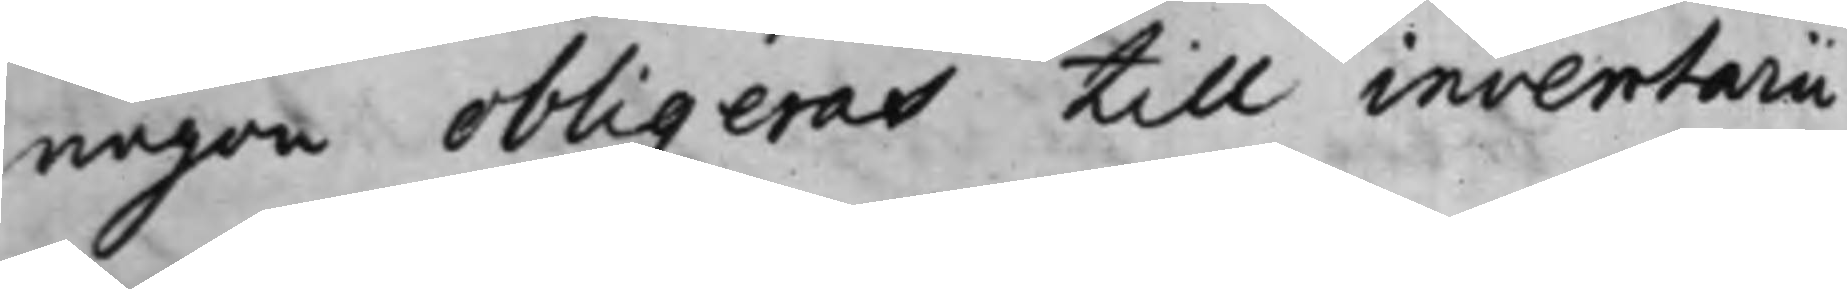någon obligeras till inventarii
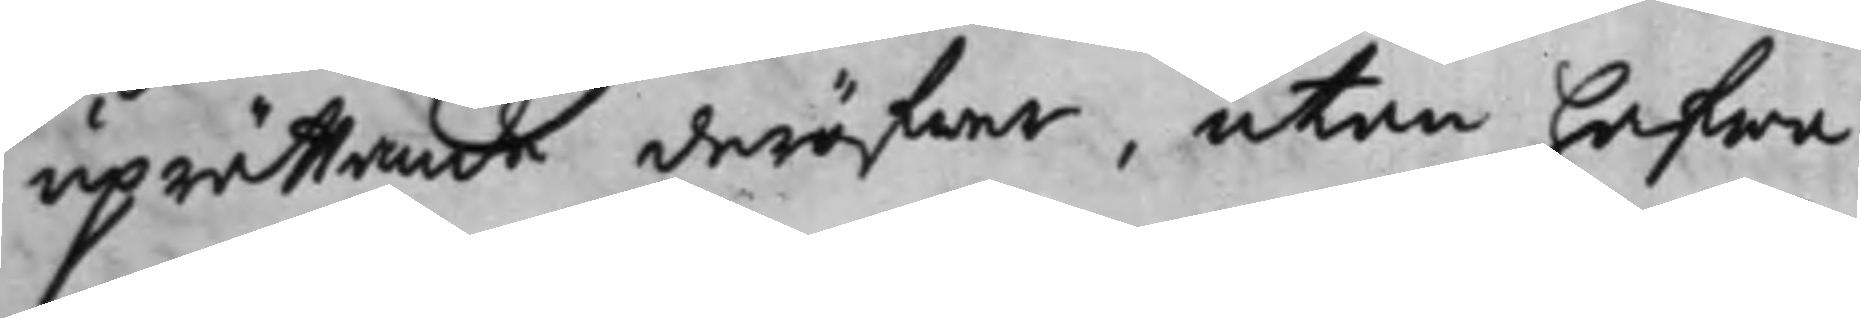uprättande deröfwer, utan hafwa
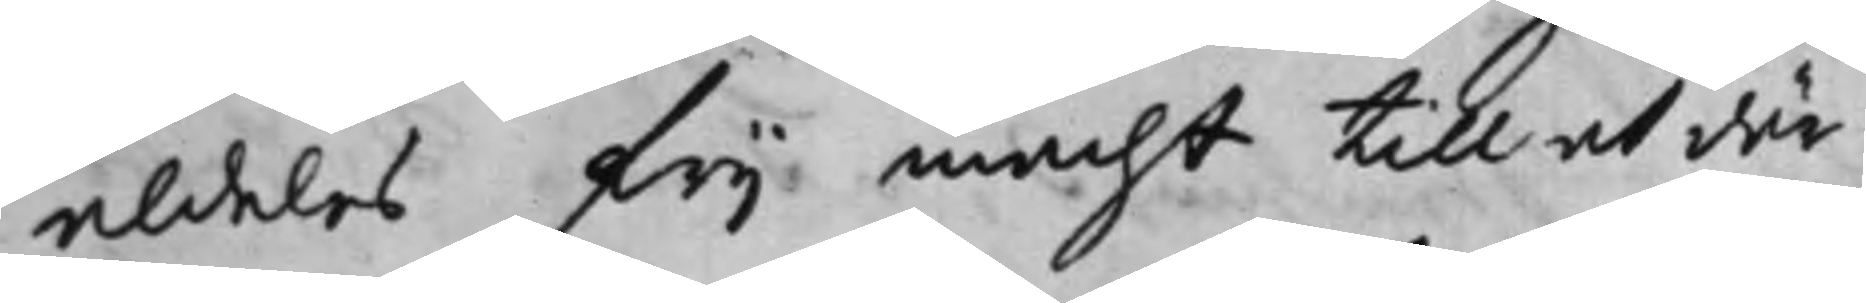aldeles frij macht till at där¬
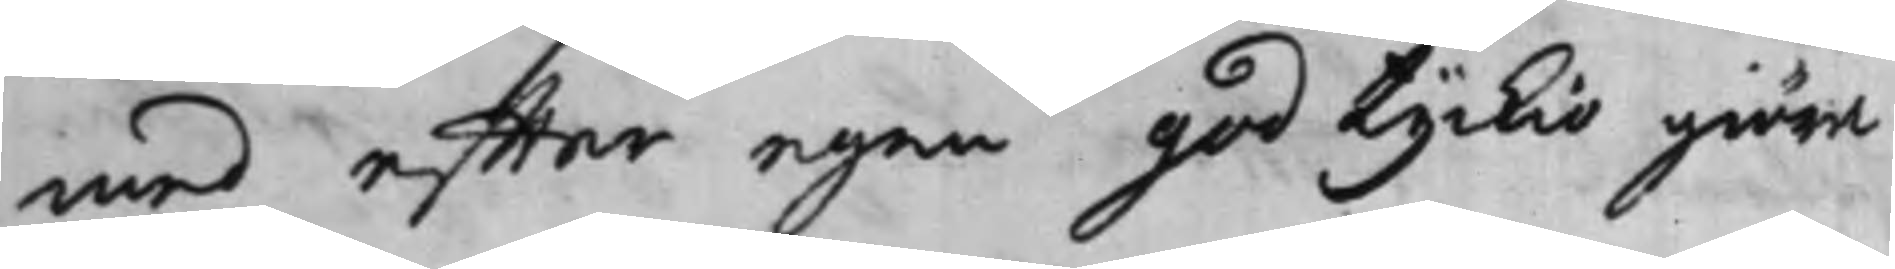med effter egen god tyckio giöra
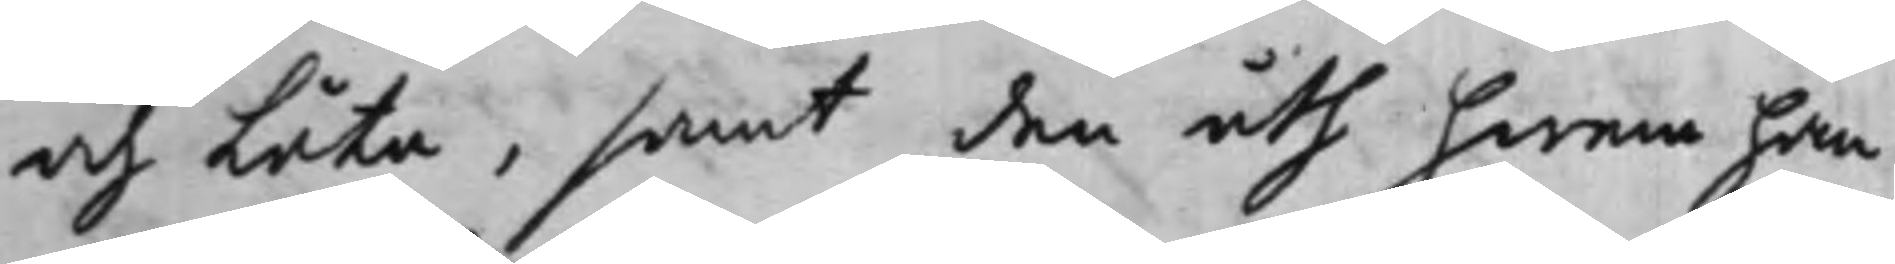och låta, samt den åth hvem han
